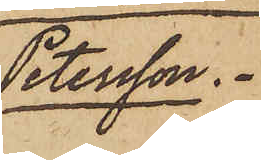Petersson.
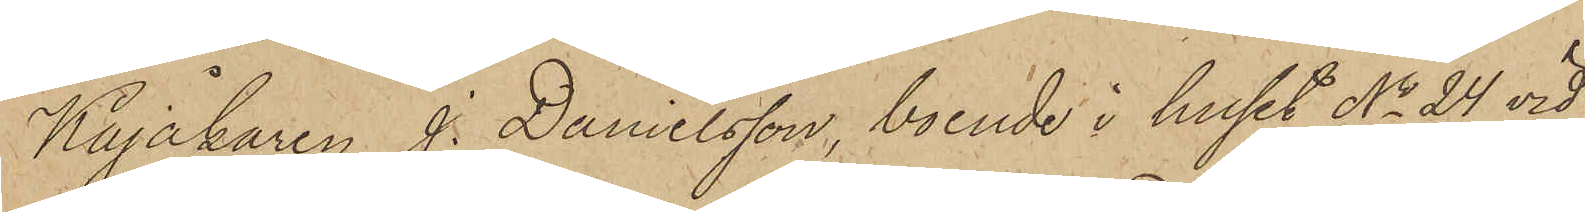Kajåkaren J. Danielsson, boende i huset No 24 vid
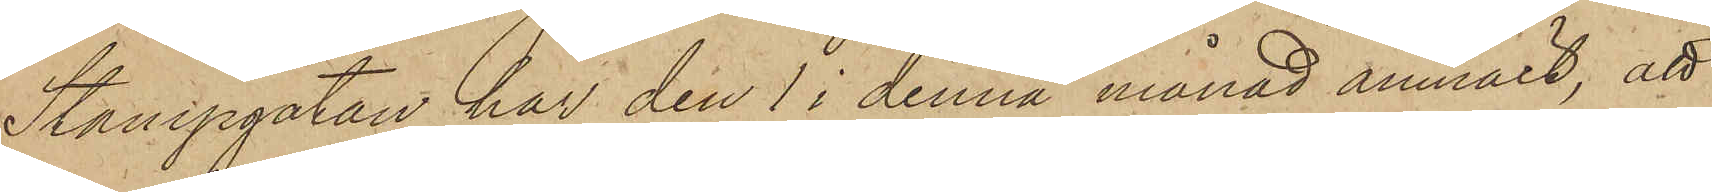Stampgatan har den 1 i denna månad anmält, att
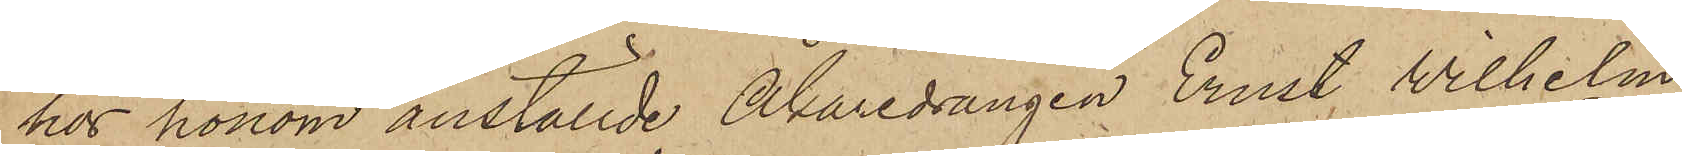hos honom anställde Åkaredrängen Ernst Wilhelm
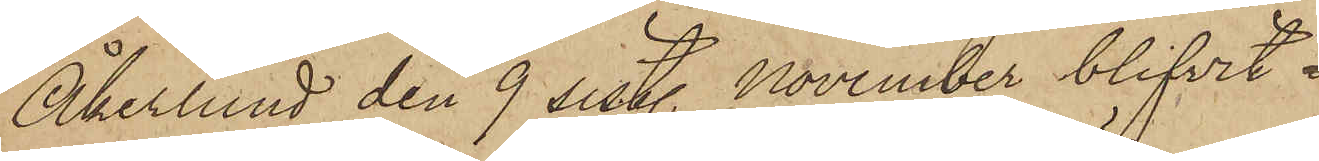Åkerlund den 9 sistl. November blifvit
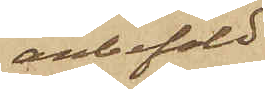anbefald
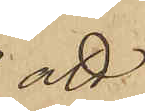att
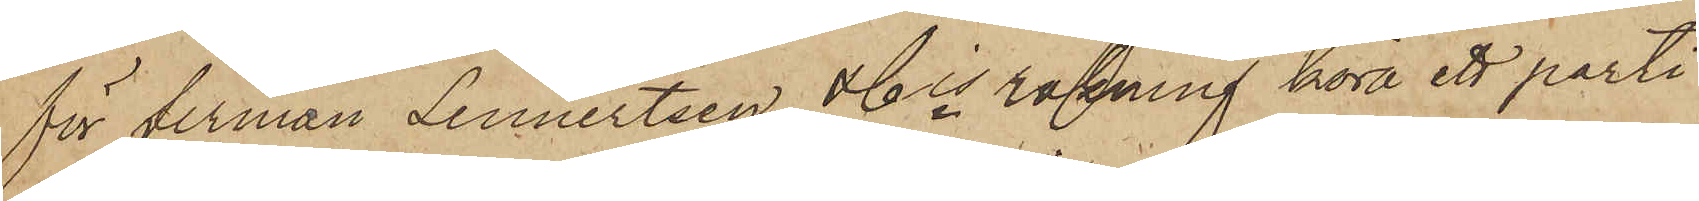för firman Lennertsen & Cis räkning köra ett parti
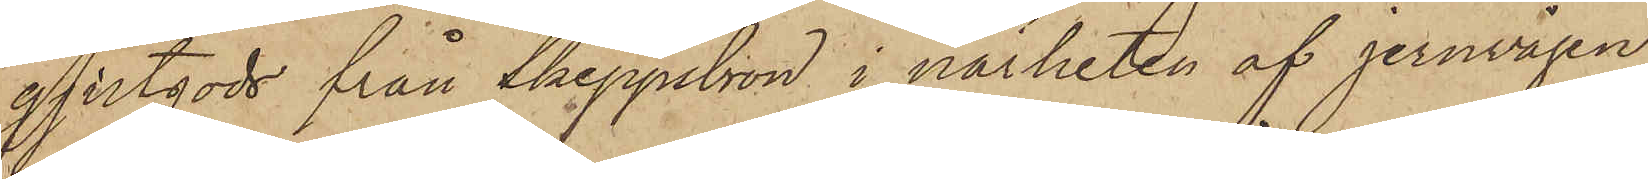gjutgods från Skeppsbron i närheten af jernvågen
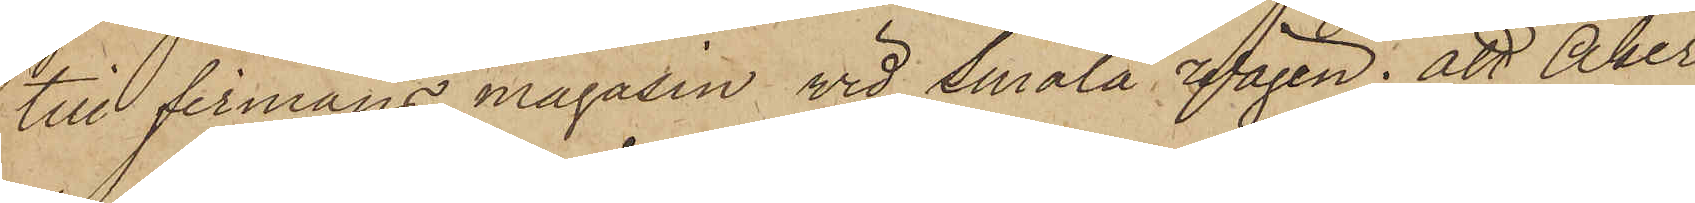till firmans magasin vid Smala Wägen; att Åker¬
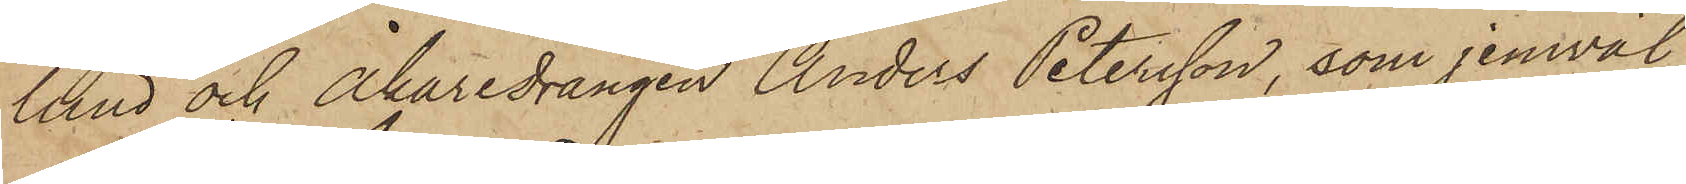lund och Åkaredrängen Anders Petersson, som jemväl
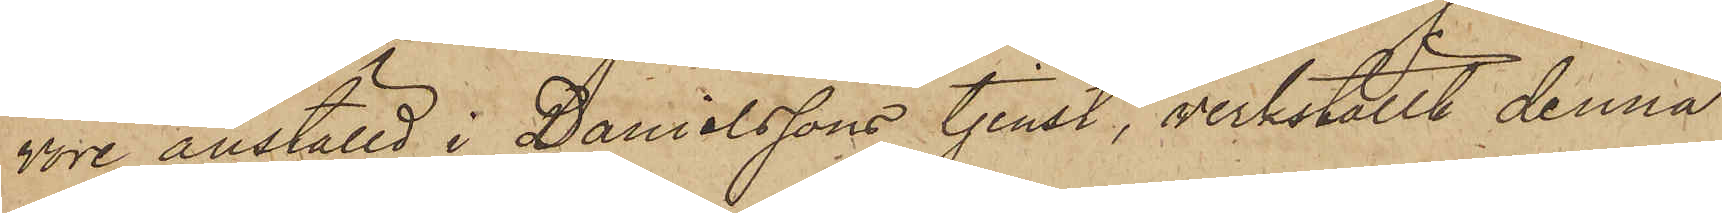vore anställd i Danielssons tjenst, verkställt denna
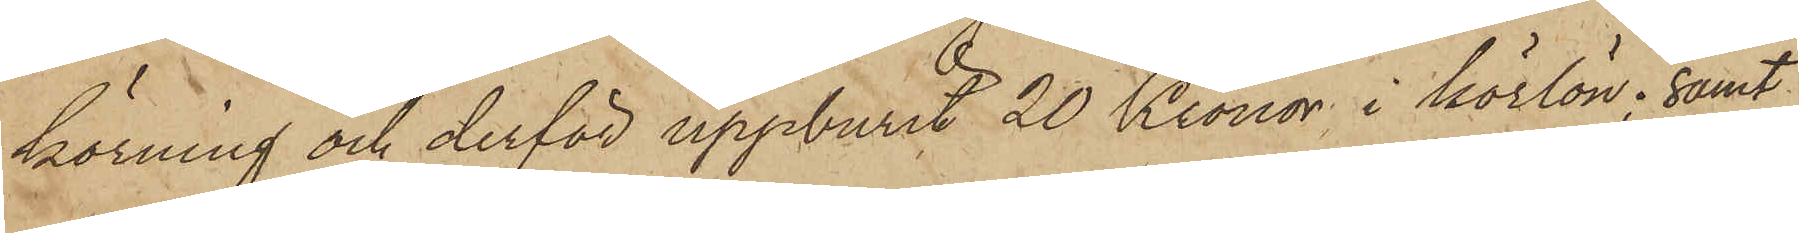körning och derför uppburit 20 Kronor i körlön; samt
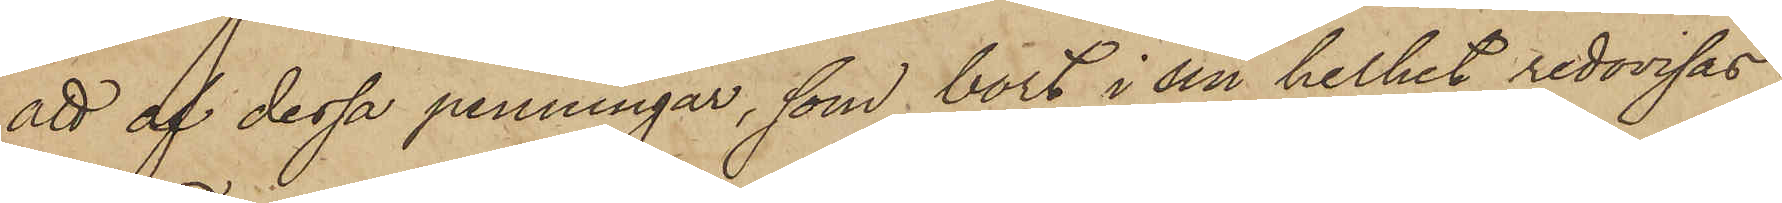att af dessa penningar, som bort i sin helhet redovisas
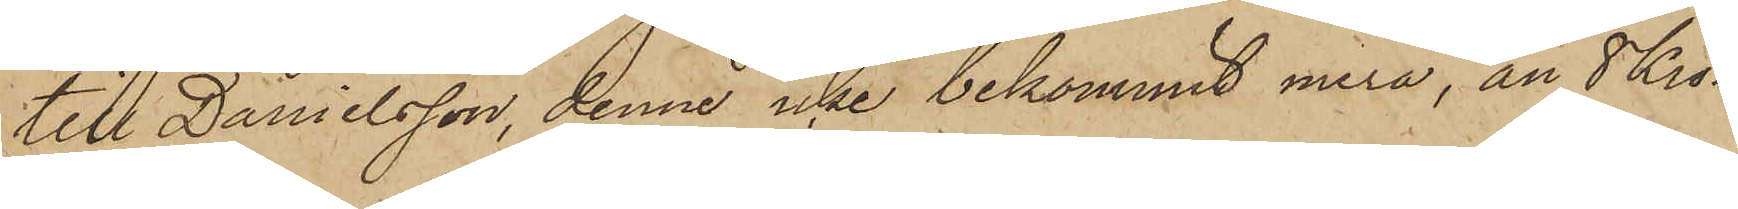till Danielsson, denne icke bekommit mera, än 8 Kro¬
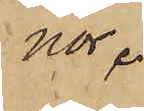nor.
